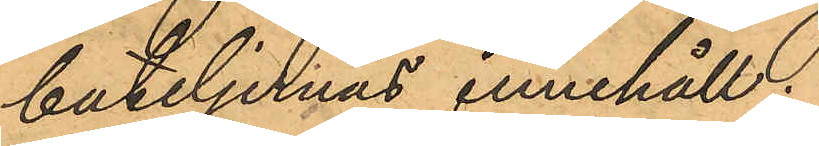buteljernas innehåll.
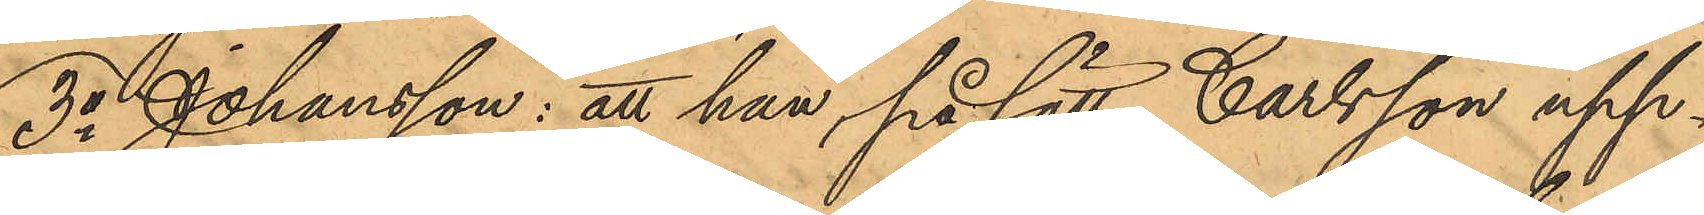3o Johansson: att han, på sätt Carlsson upp¬
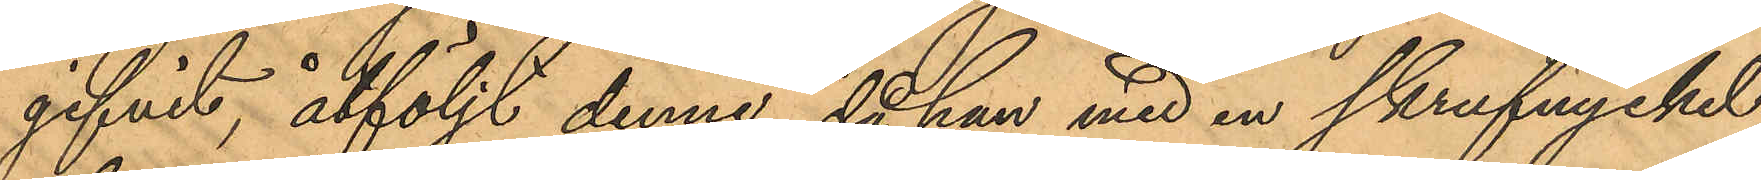gifvit, åtföljt denne, då han med en skrufnyckel
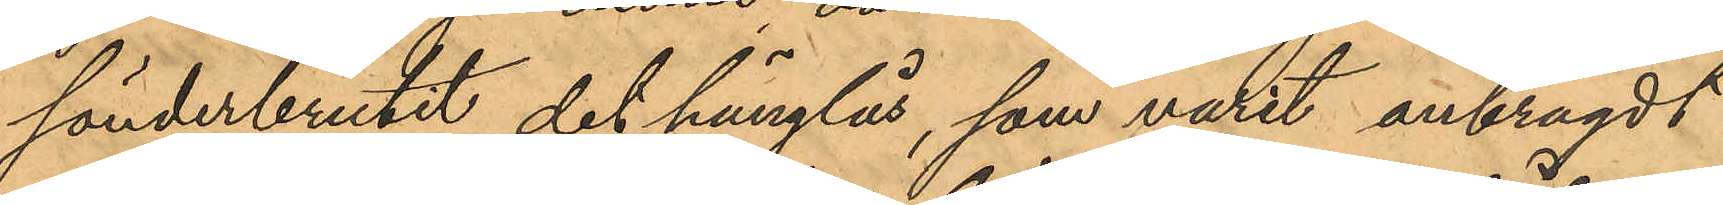sönderbrutit det hänglås, som varit anbragdt
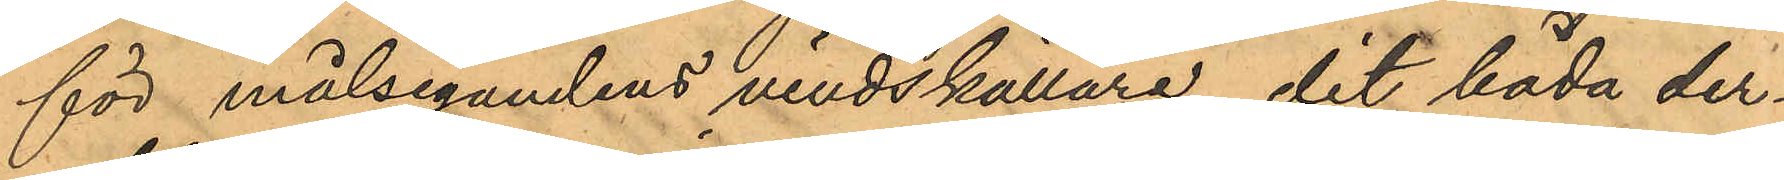för målsegandens vindskällare, dit båda der¬
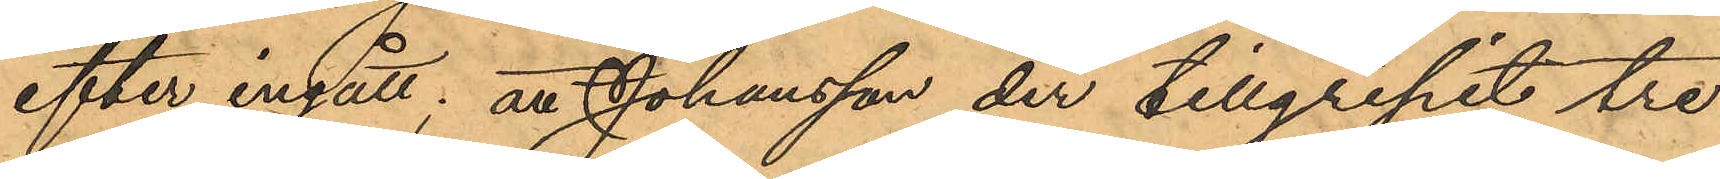efter ingått; att Johansson der tillgripit tre
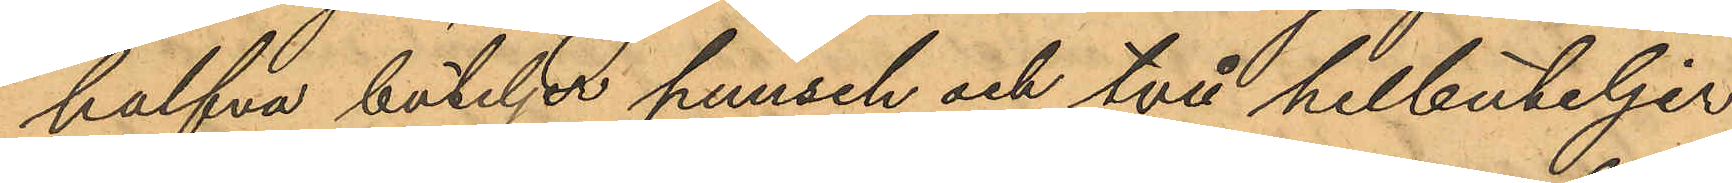halfva buteljet punsch och två helbuteljer
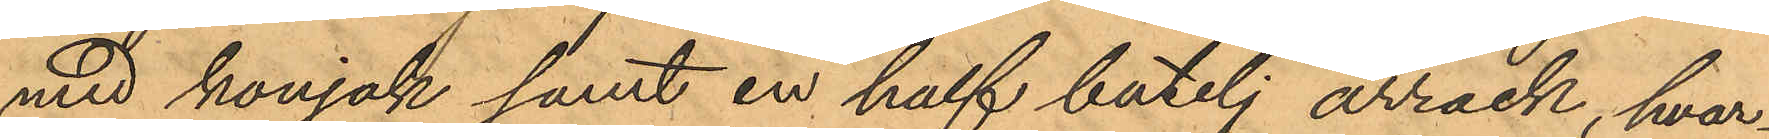med konjak samt en half butelj arrack, hvar¬
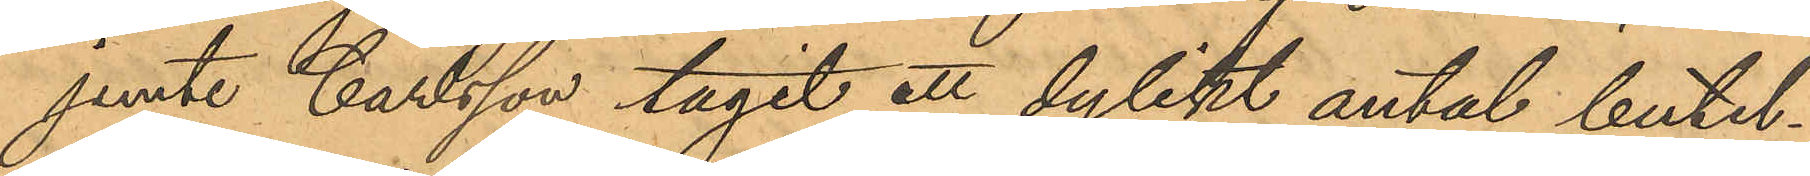jemte Carlsson tagit ett dylikt antal butel¬
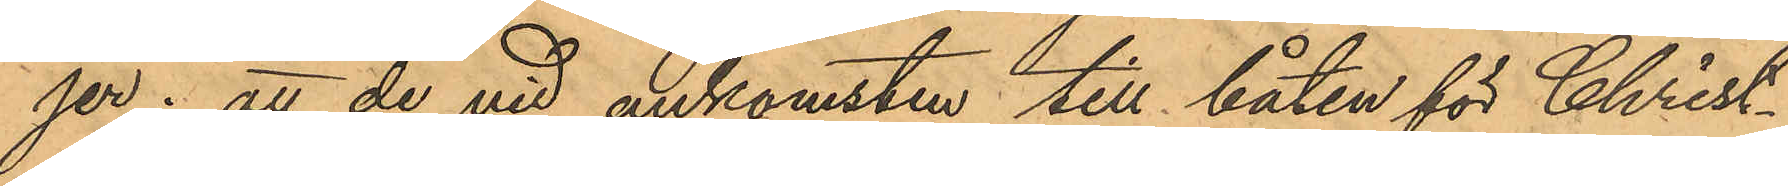jer; att de vid ankomsten till båten för Christ¬
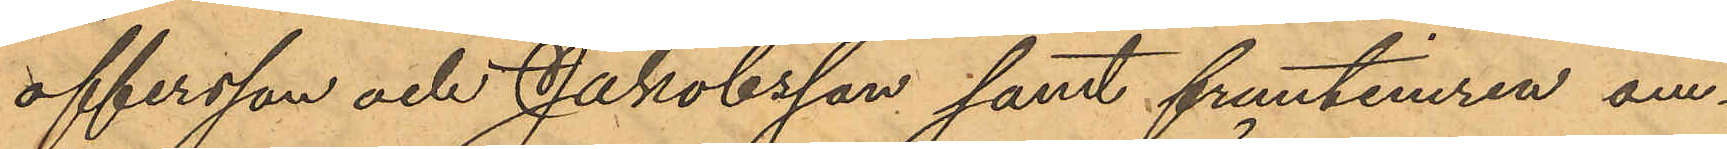offersson och Jakobsson samt fruntimren om¬
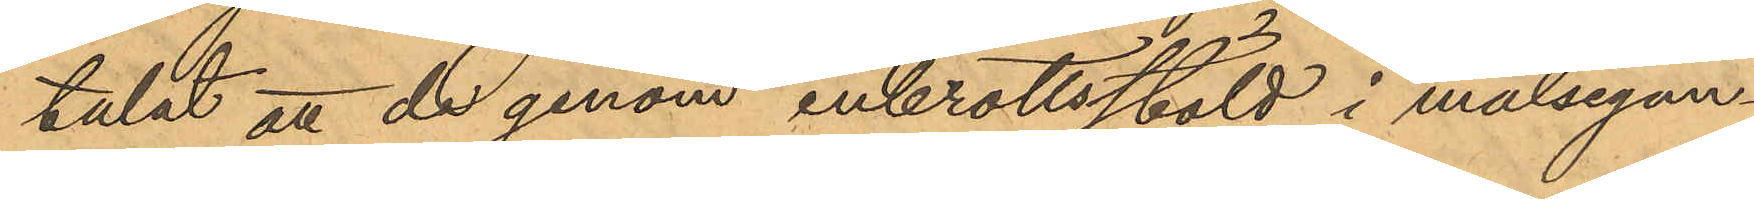talat att de genom inbrottsstöld i målsegan¬
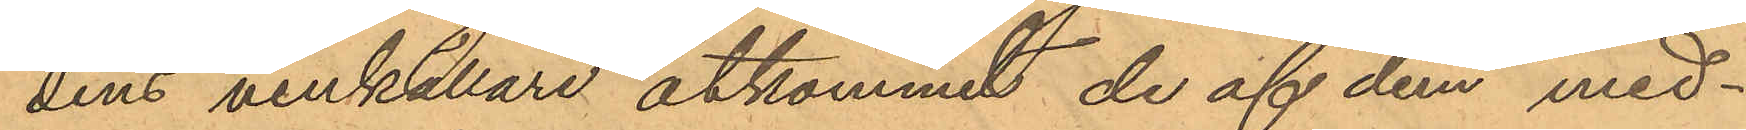dens vinkällare åtkommit de af dem med¬
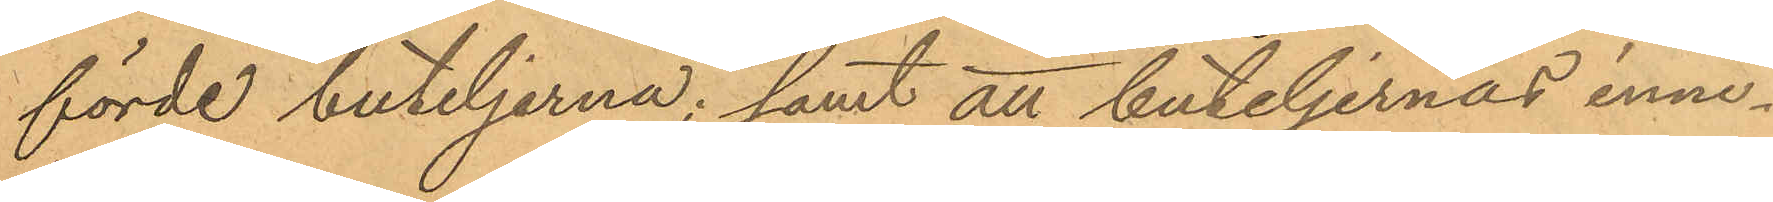förde buteljerna; samt att buteljernas inne¬
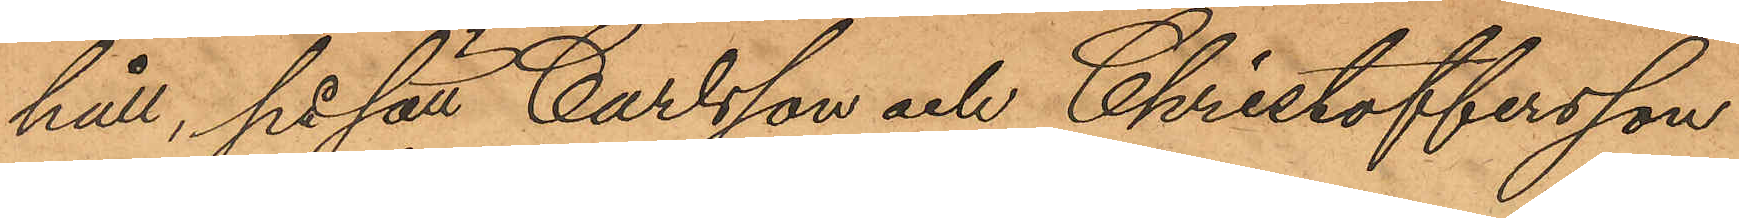håll, på sätt Carlsson och Christoffersson
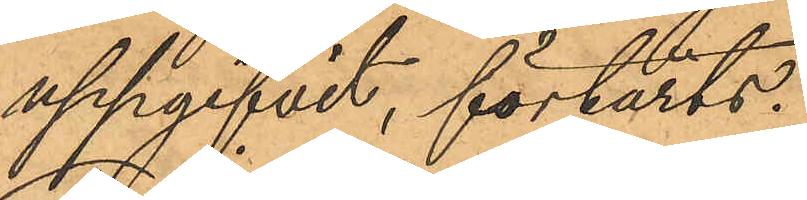uppgifvit, förtärts;
